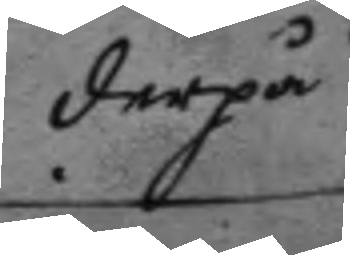derpå
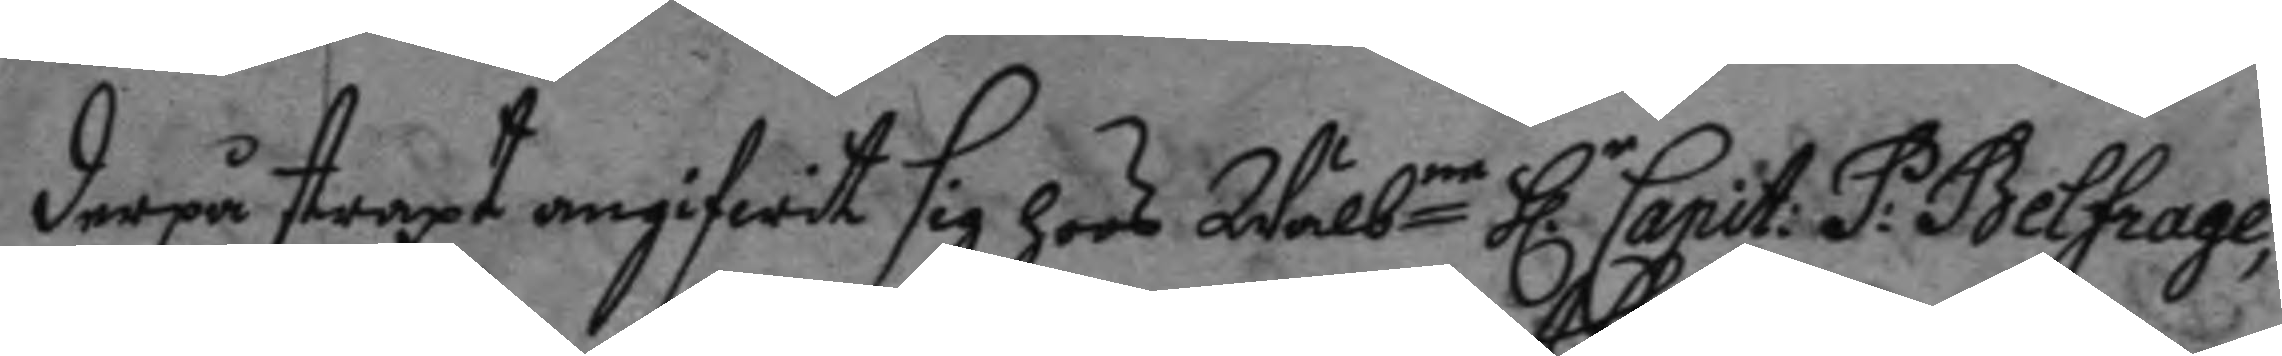derpå straxt angifwit sig hoos Wälbne h.r Capit: P: Belfrage,
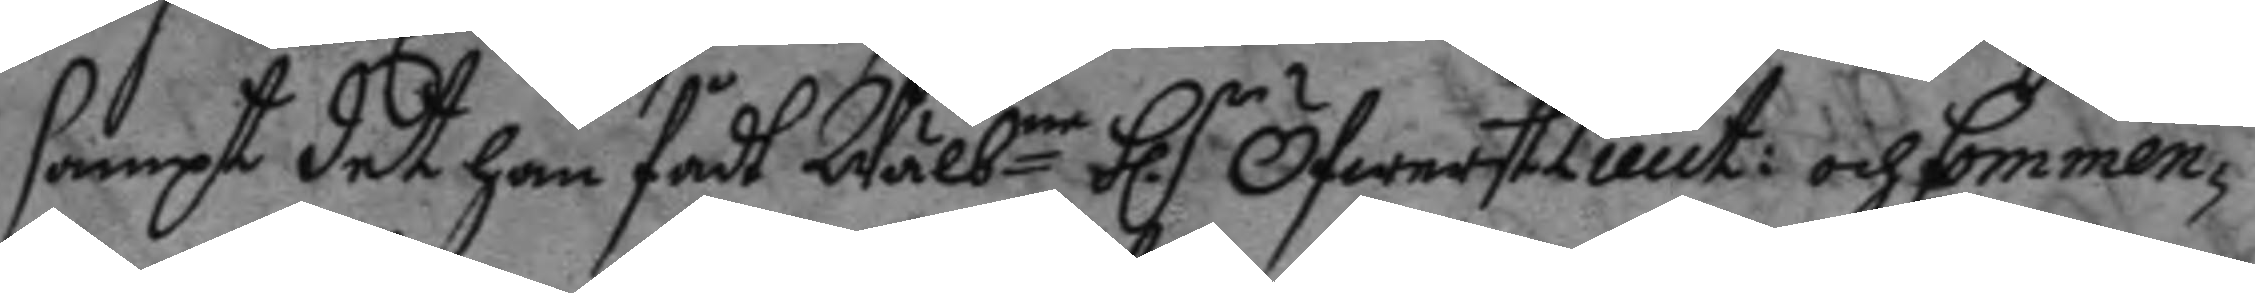sampt det han fådt Wälbne h.r ÖfwerstLieut: och Commen¬
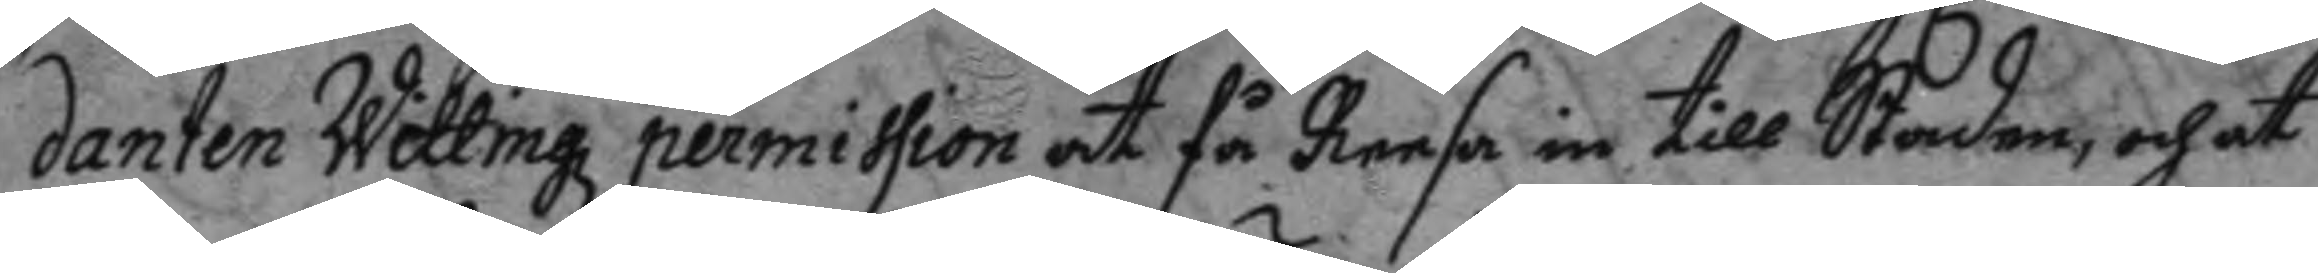danten Wettingz permission at få Reesa in till Staden, och at
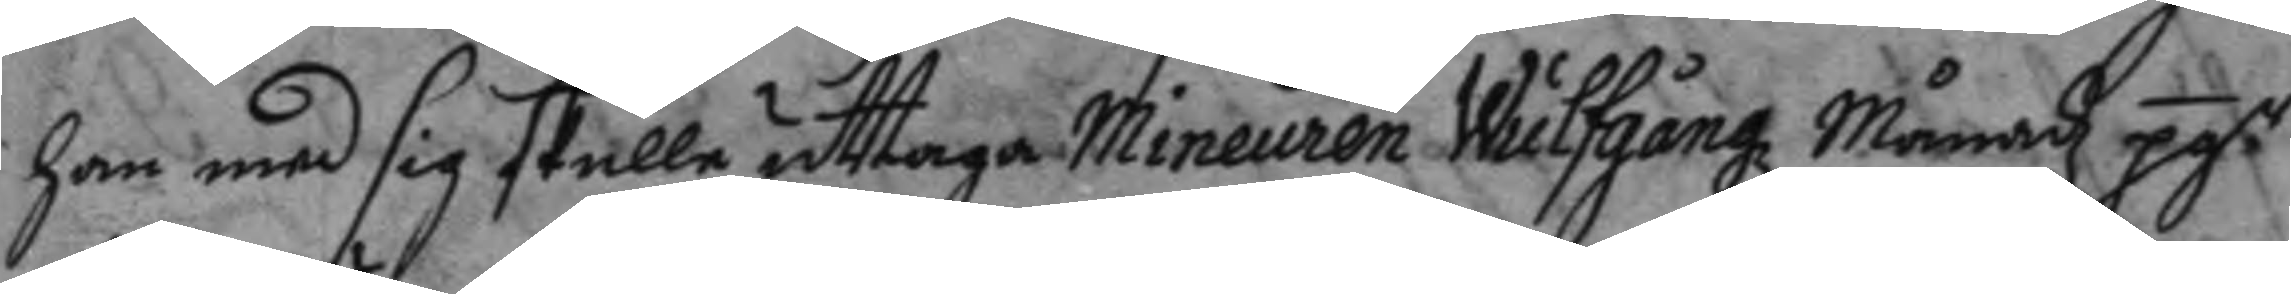han med sig skulle uttaga Mineuren Wulggangz Månadz pg:r
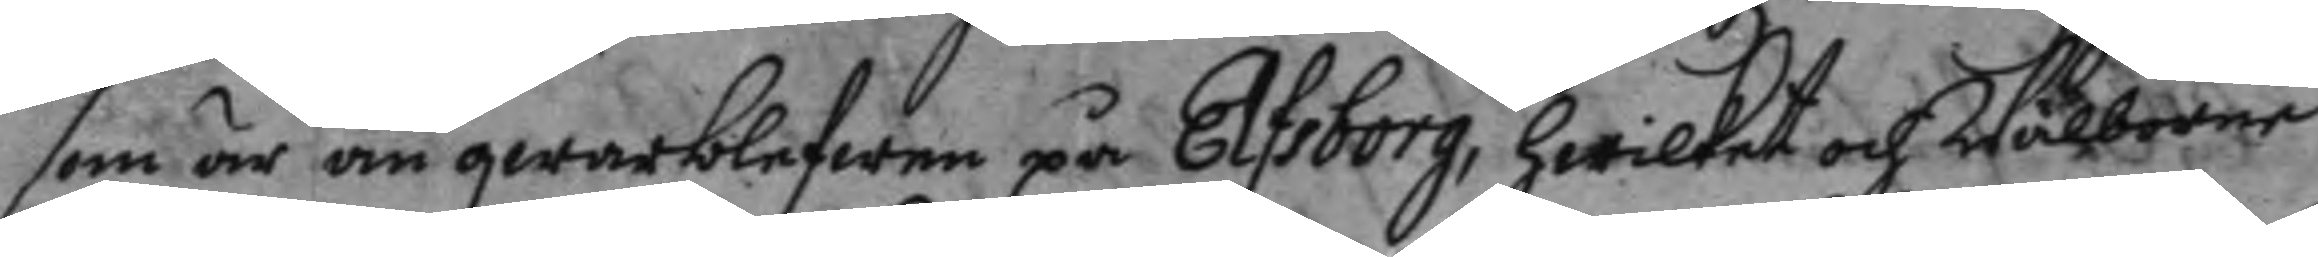som är än qwarblefwne på Elfsborg, hwilket och Wälborne
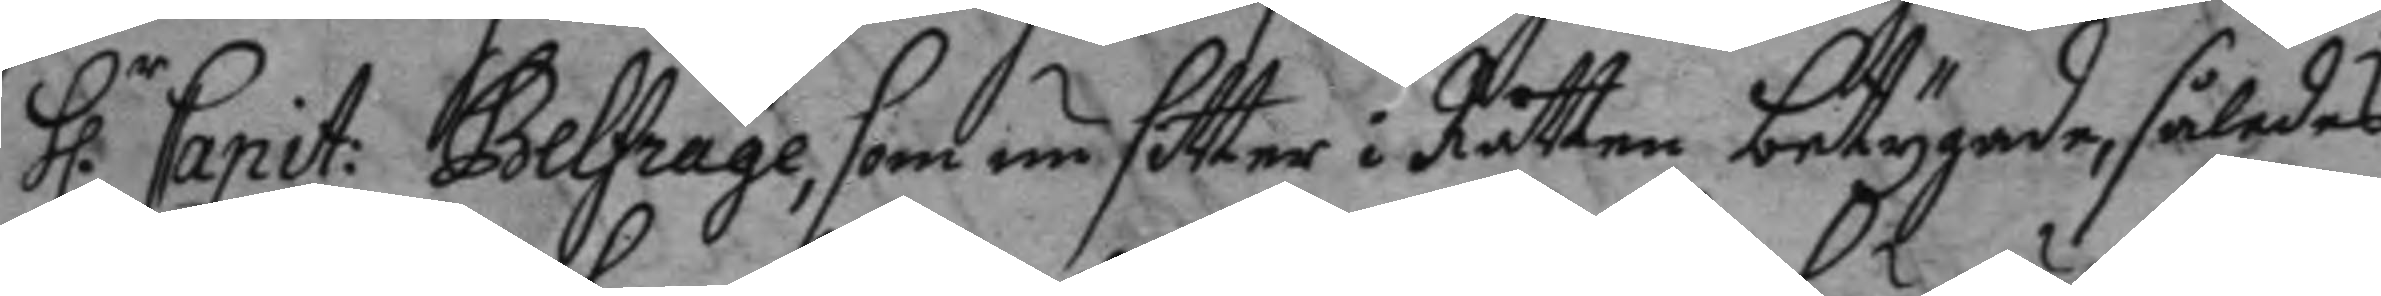h.r Capit: Belfrage som nu sitter i Rätten betygade, således
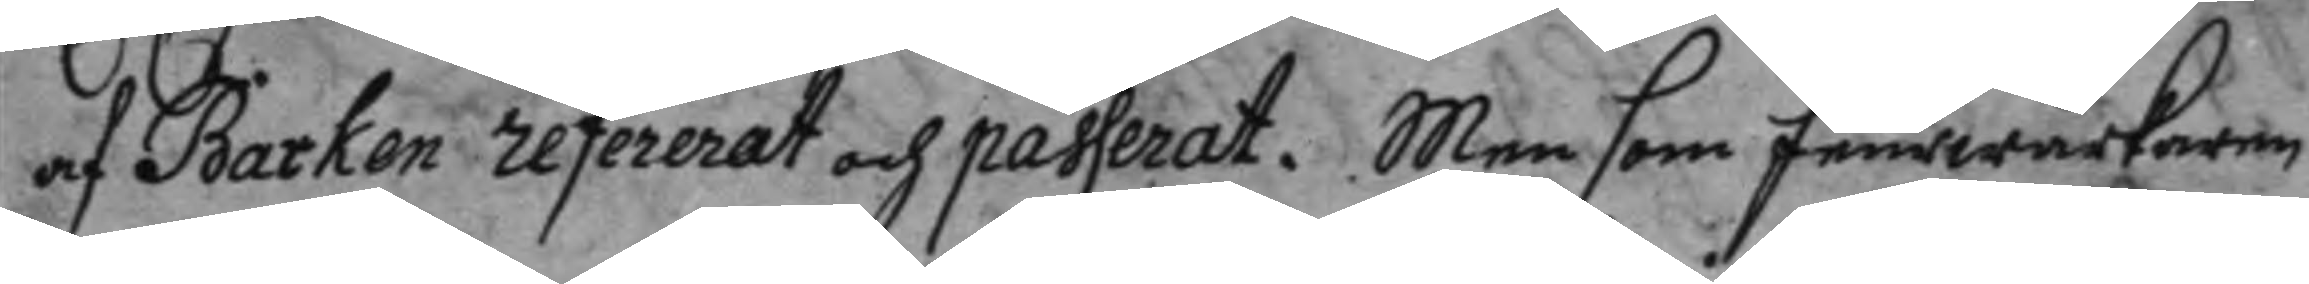af Barken refererat och passerat. Men som feurwärkaren
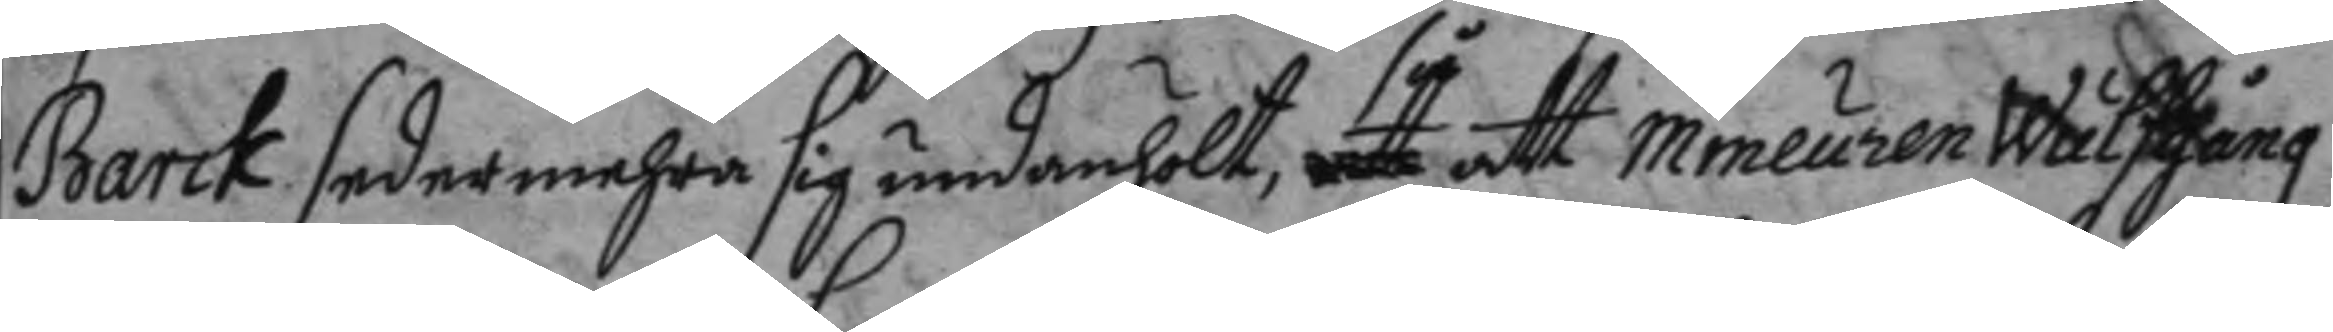Barck sedermehra sig undanhölt så att mineuren Wulfgang
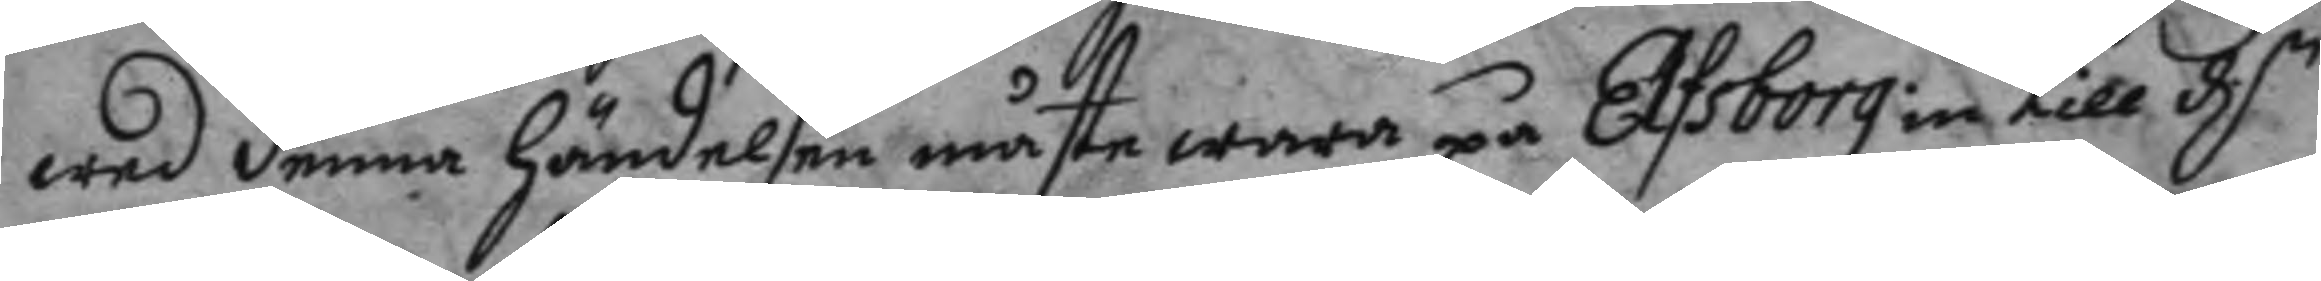wed denna händelsen måste wara på Elfsborg in till d.n
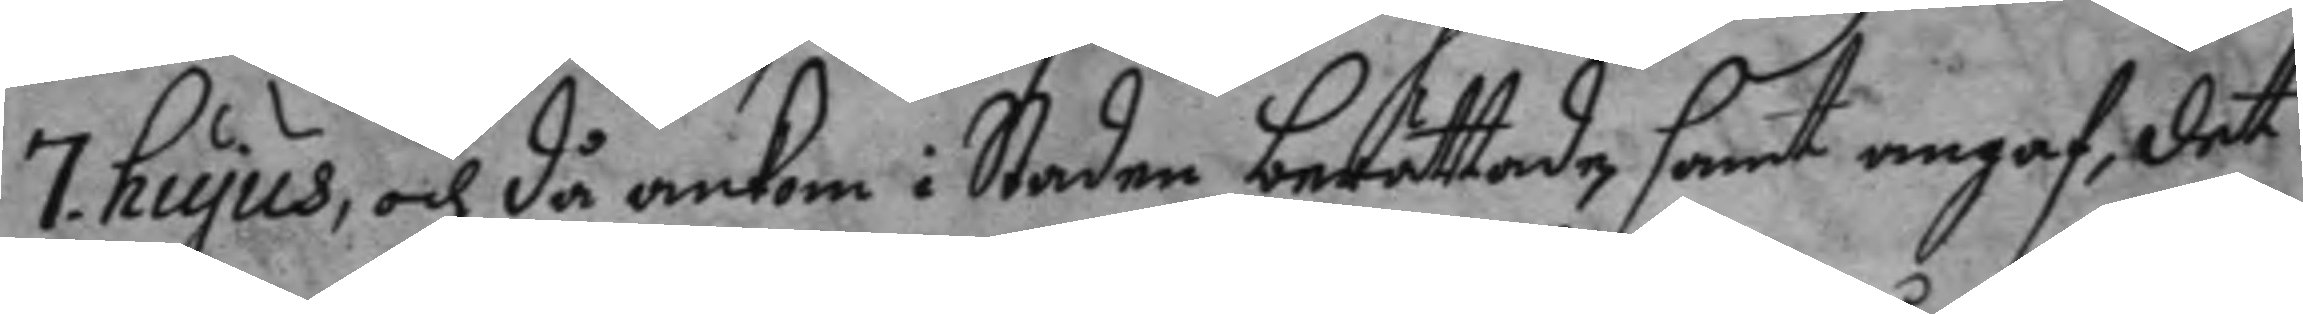7. hujus, och då ankom i Staden berättade , samt angaf, det
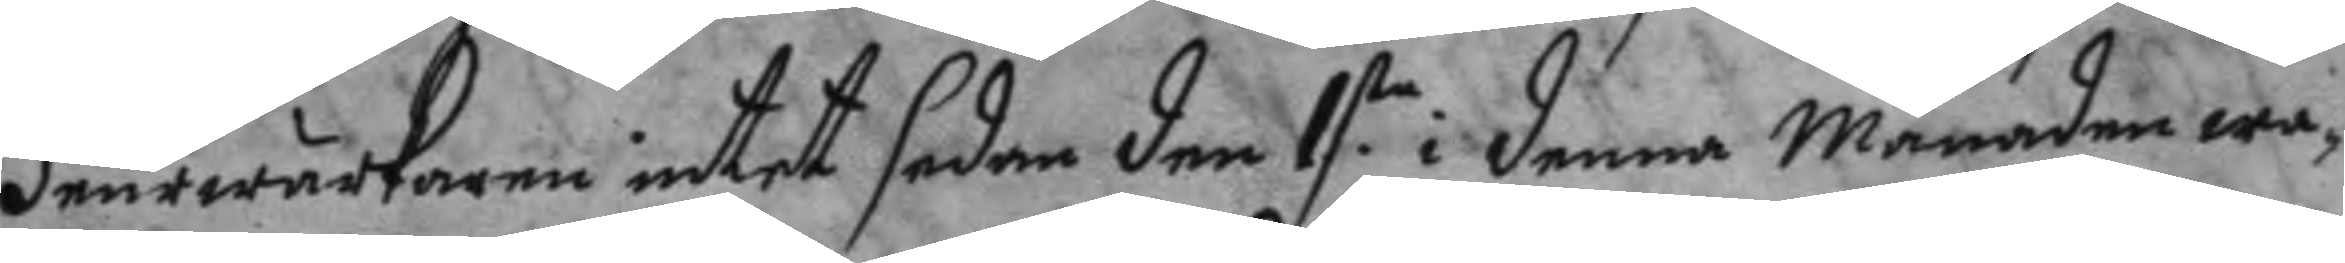feurwärkaren intet sedan den 1ste i denna Månaden wa¬
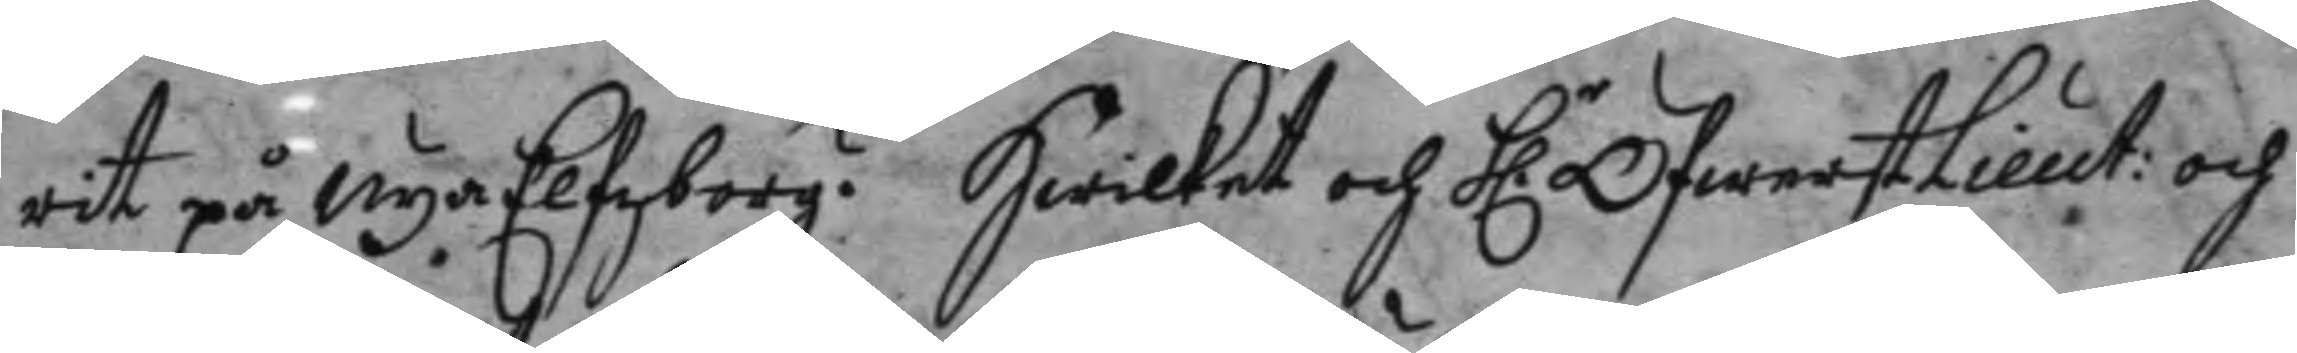rit på Nya Elfsborg. hwilket och h.r ÖfwerstLieut: och
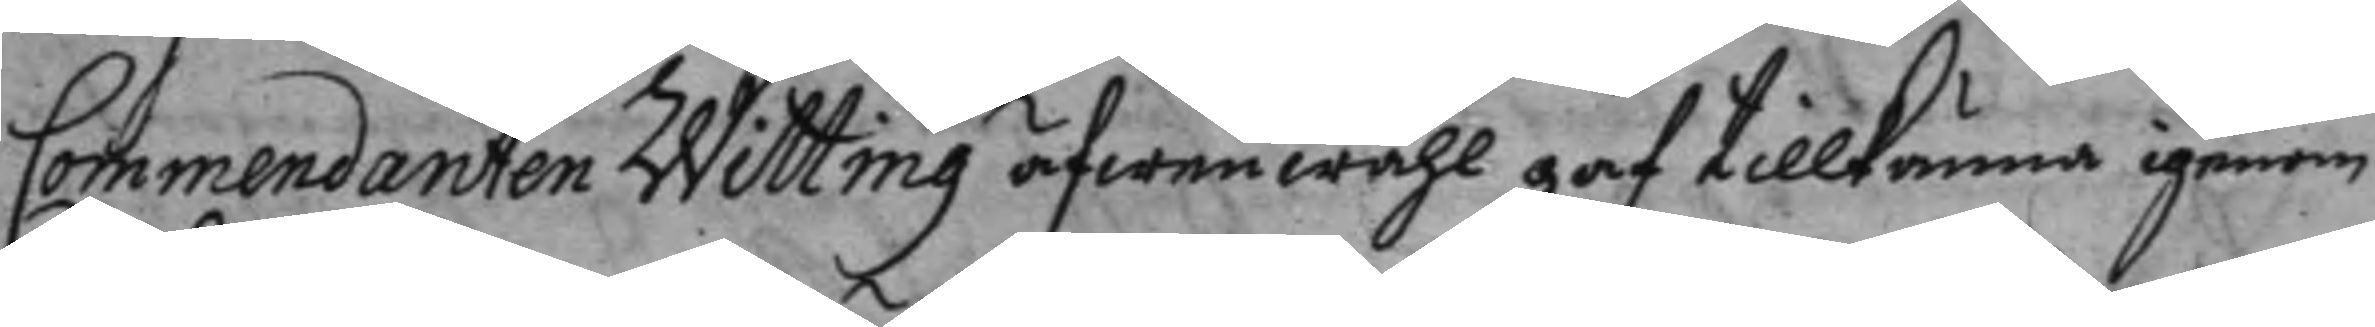Comendanten Wittin äfwenwähl gaf tillkänna igenom
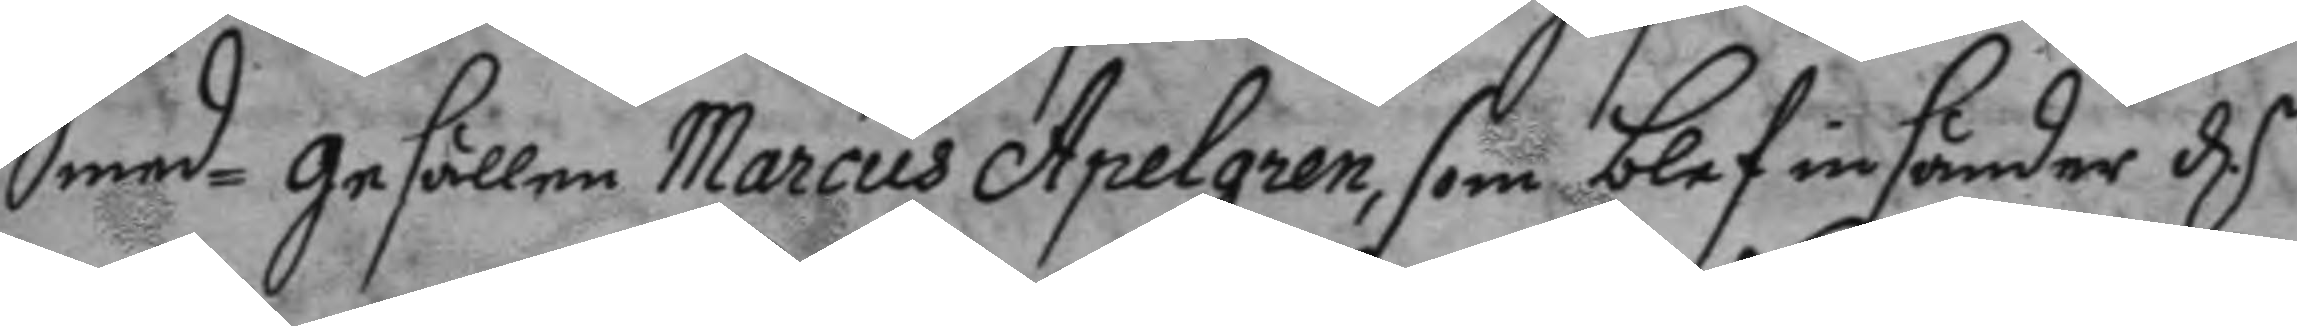Smed-gesällen Marcus Apelgren, som blef insänder d.n
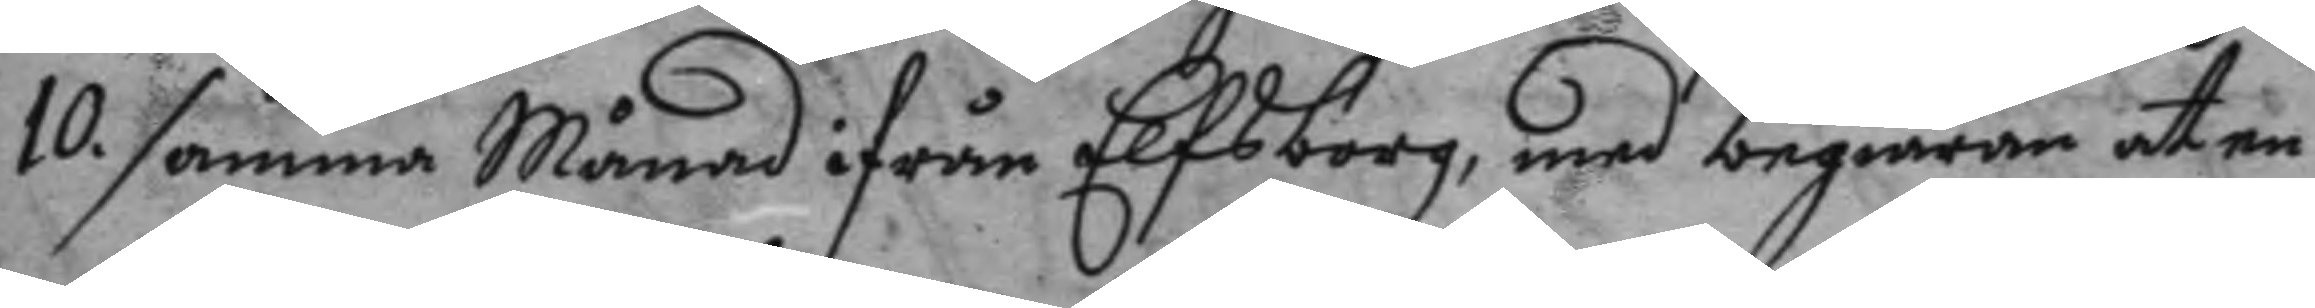10. samma Månad ifrån Elfsborg, med begiäran at en
